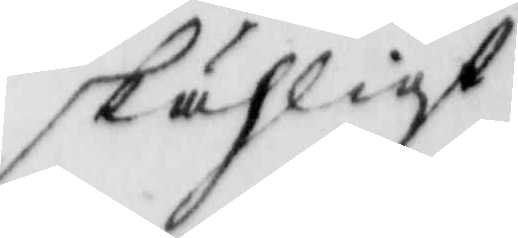skähligt
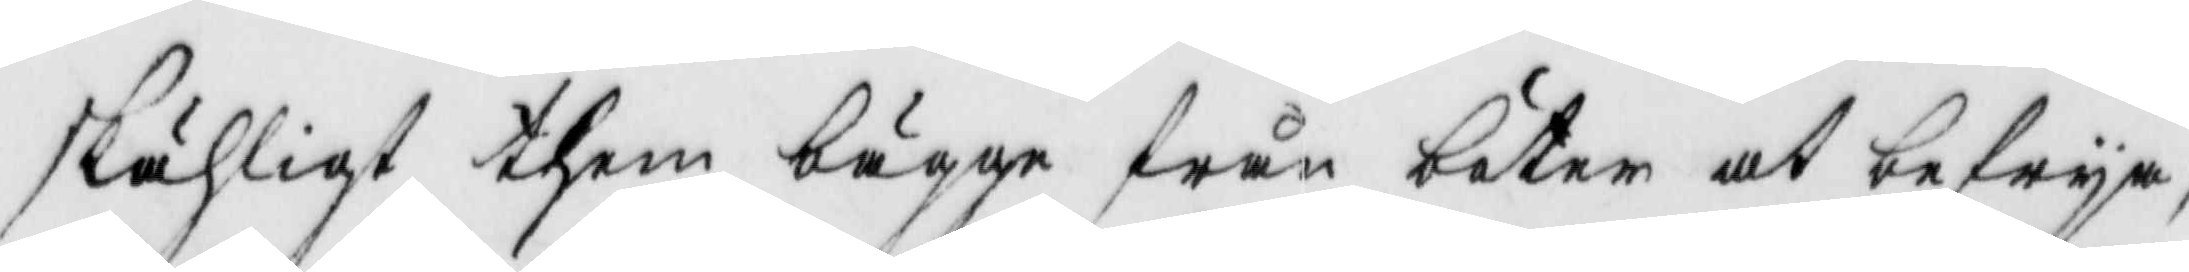skäligt them bägge från böter at befrya,
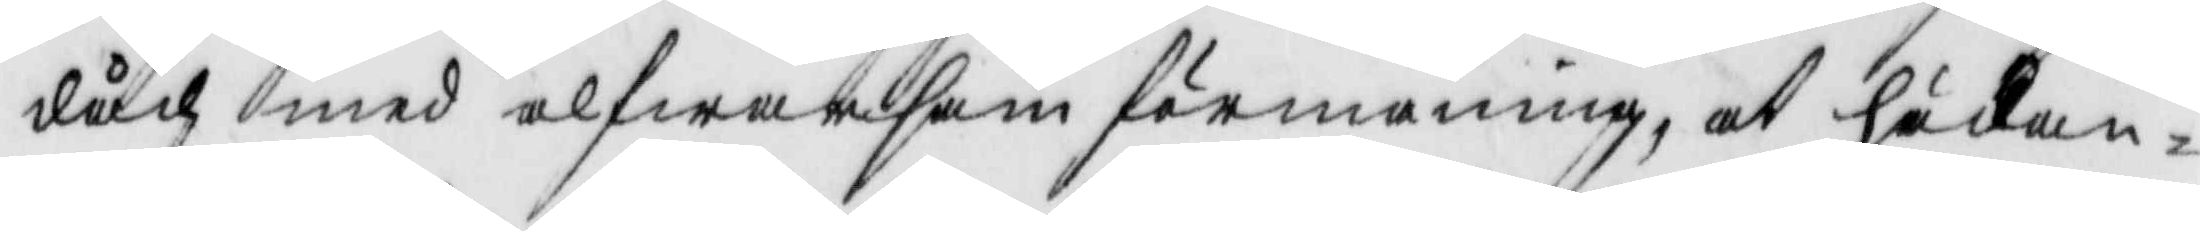dåck med alfwarsam förmaning, at hädan¬
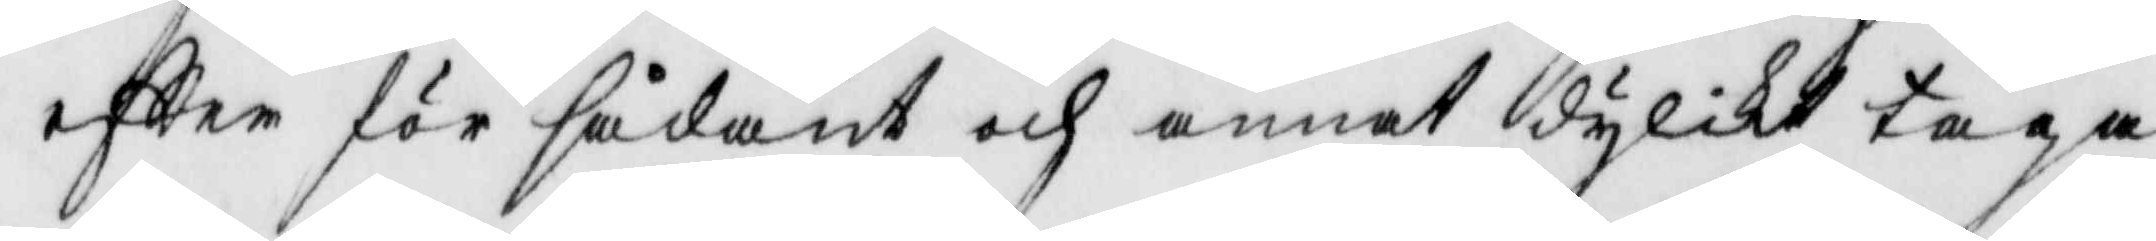eftter för sådant och annat dylikt taga
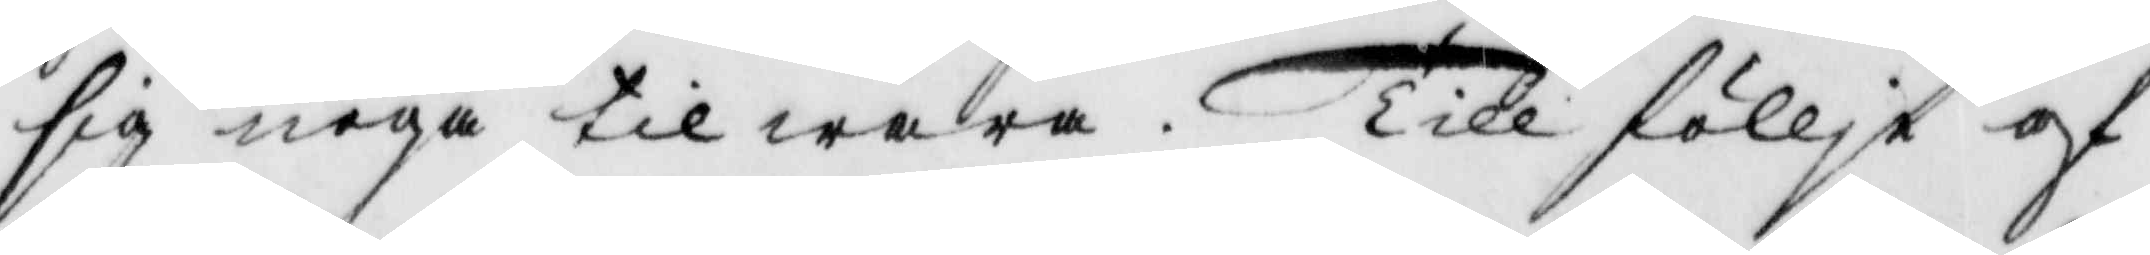sig noga tilwara. Till föllje af
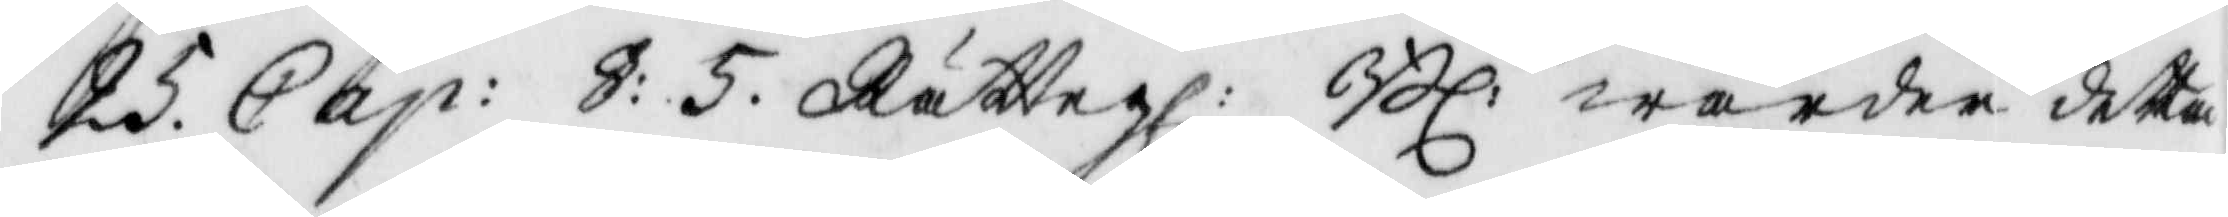25. Cap: §: 5. Rättegl: Bl: warder detta
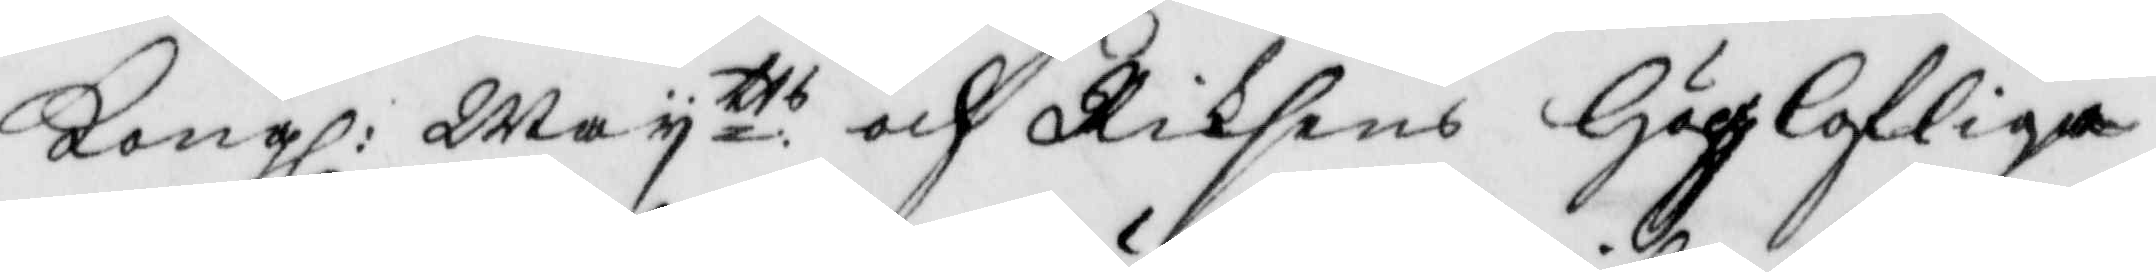Kongl: Maytts och Riksens Höglofliga
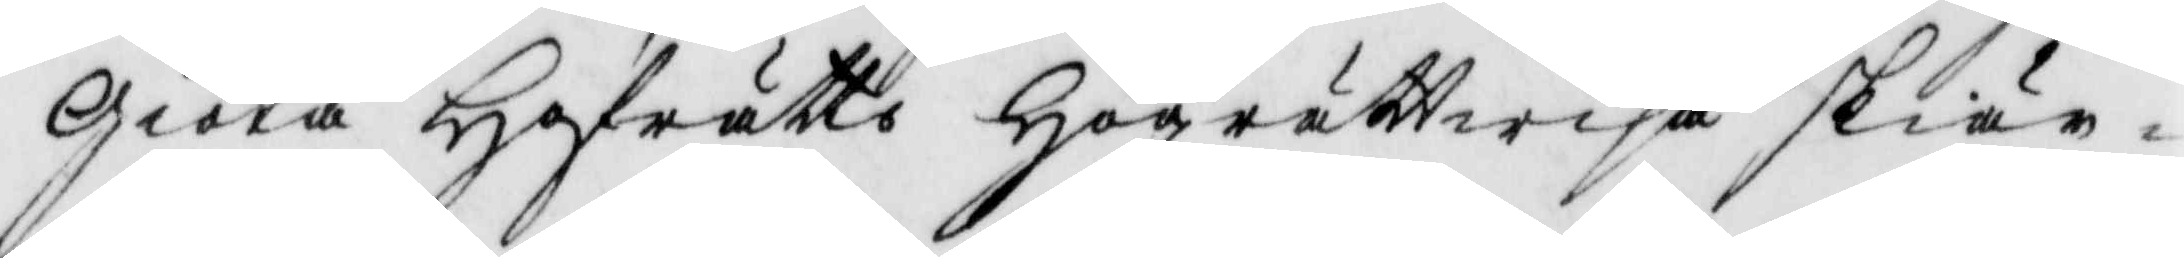Giöta Hofrätts Högrättwisa skiör¬
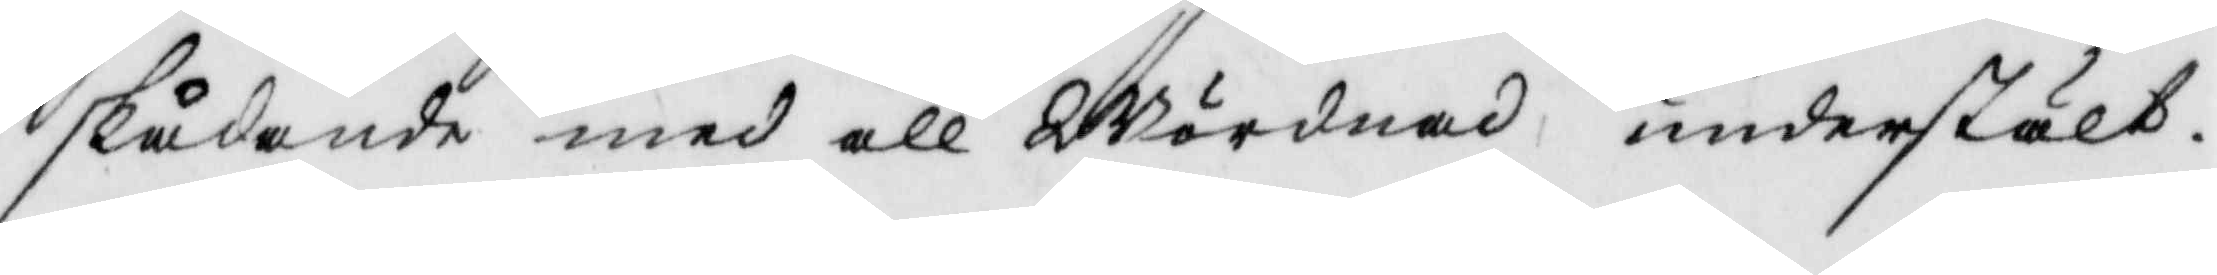skådande med all Wördnad understält.
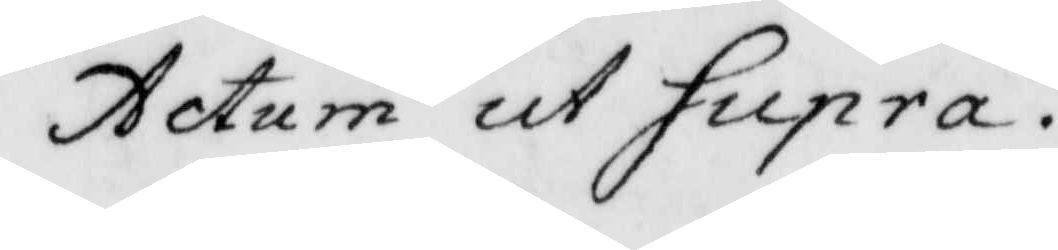Actum ut Supra.
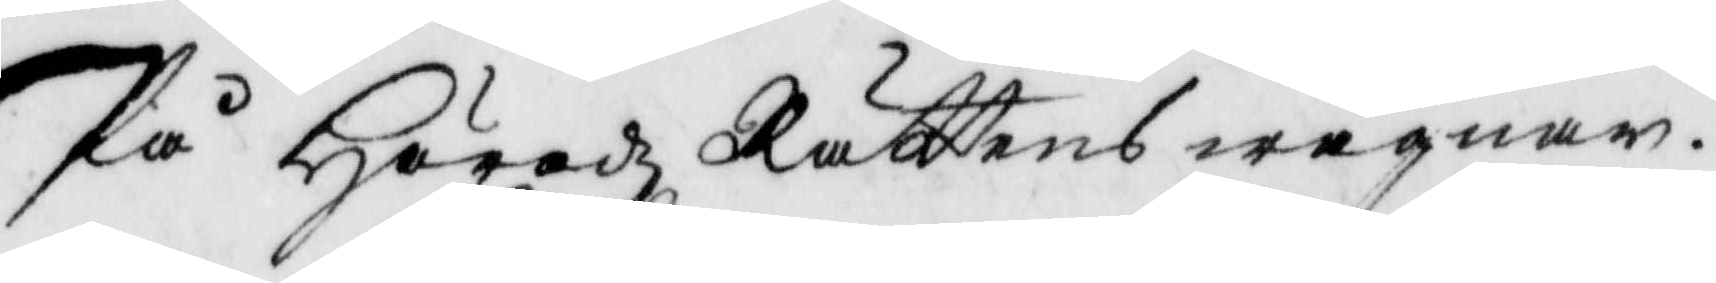På Häradz Rättens wägnar.
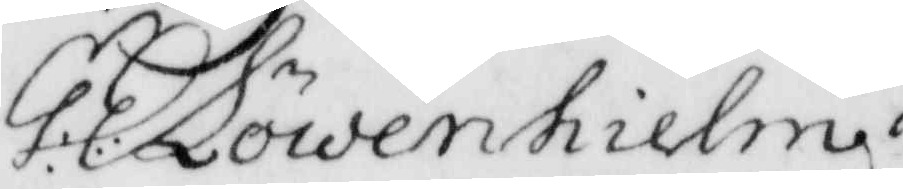G: E: Löwenhielm
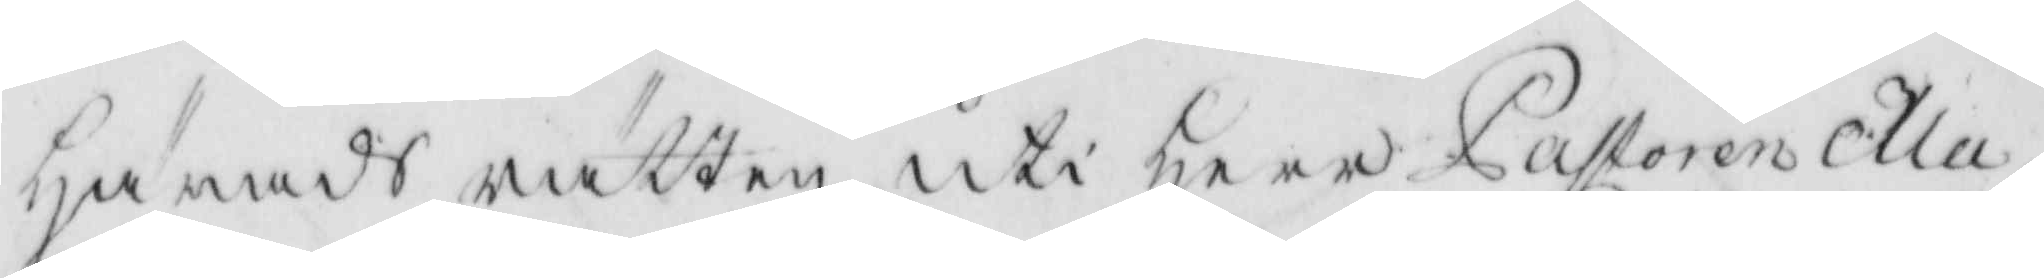härads rätten uti Herr Pastoren Ma¬
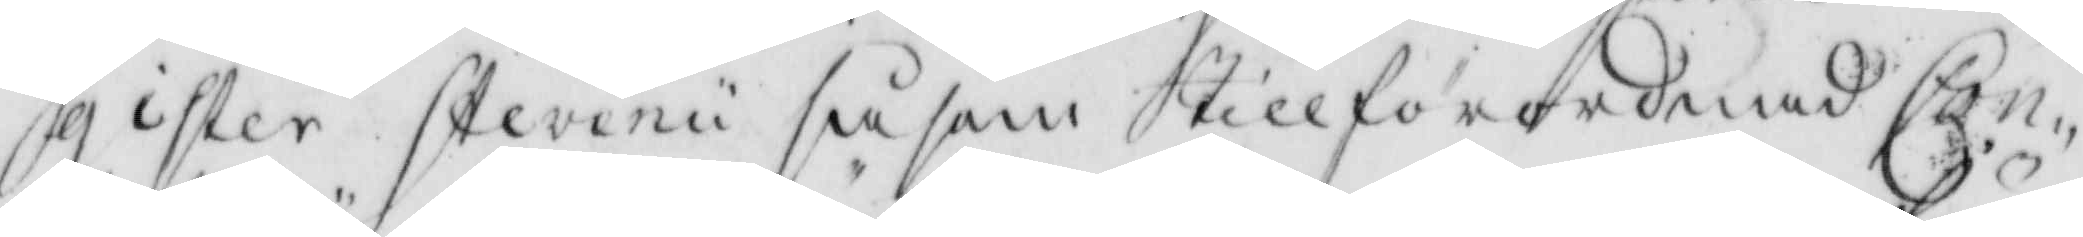gister Stevenii så som tillförordnad Con-
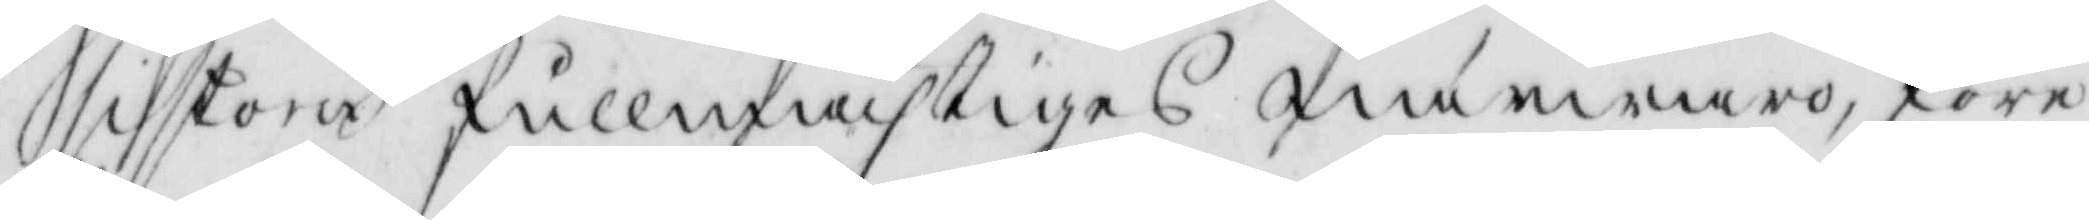istorii fullmächtiges närwaro, före
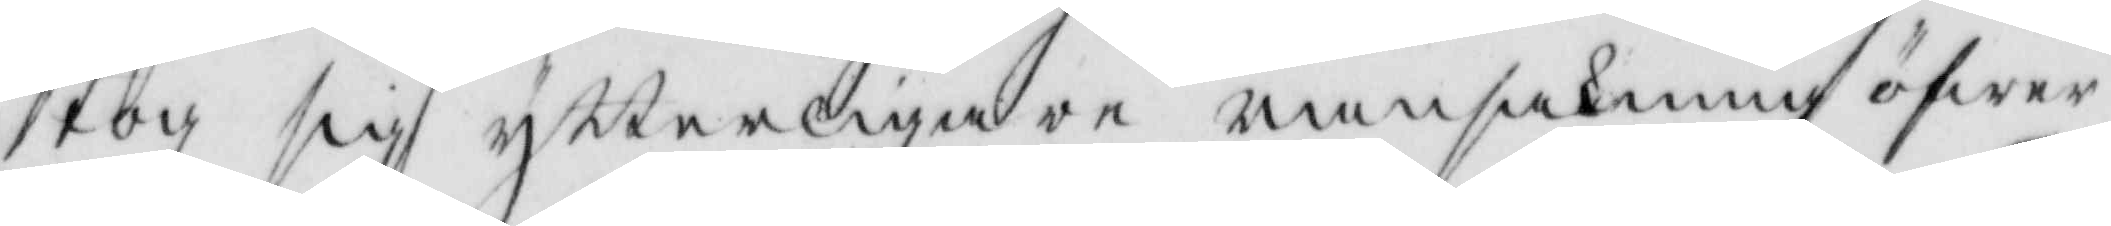tog sig ytterligare ransakning öfwer
